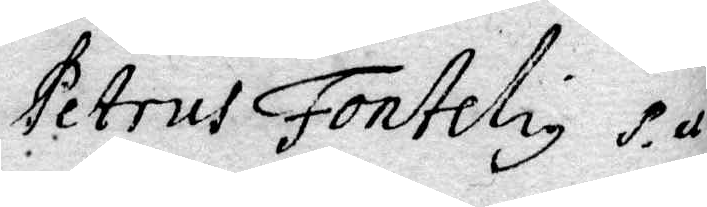Petrus Fontelius P ex P
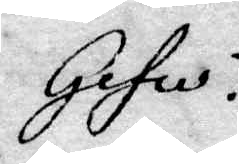Gefle!
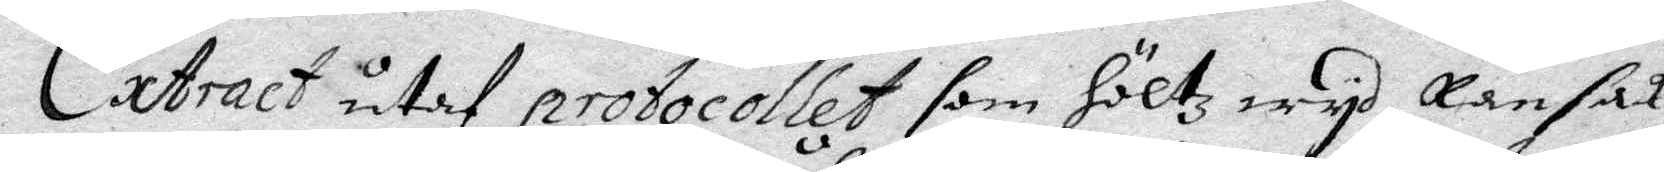Extract utaf protocollet som höltz wyd Ransak¬
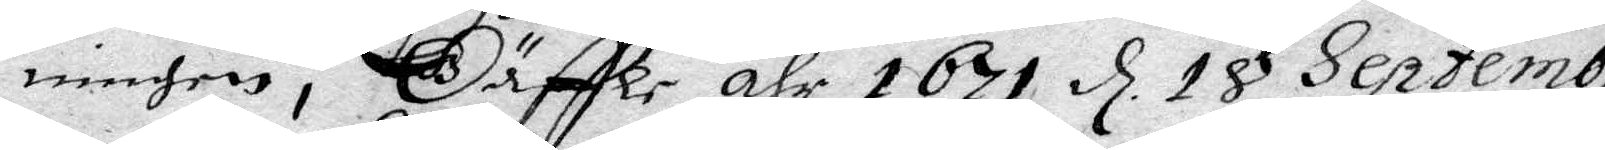ningen i Gäffle åhr 1671 d 18 Septembri
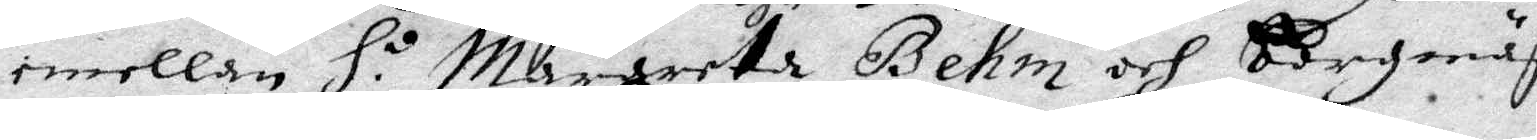emellan H.o Margareta Behm och Borgmästa¬
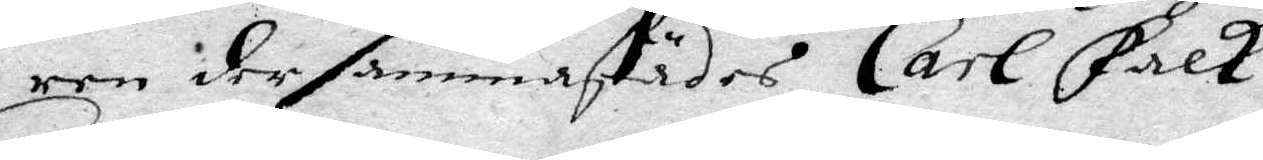ren dersammastädes Carl Falk.
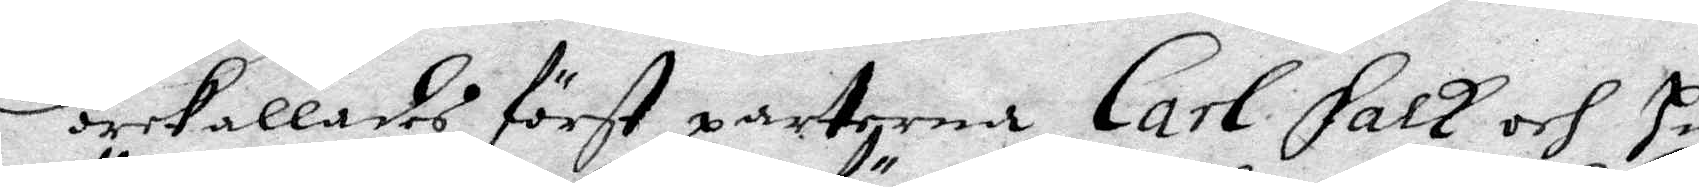Förekallades först parterna Carl Falk och Hustru
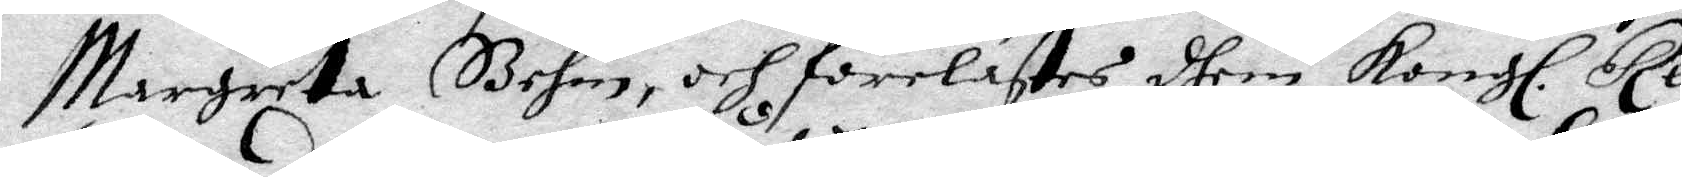Margareta Behm, och förelästes dhem Kongl. resolu¬
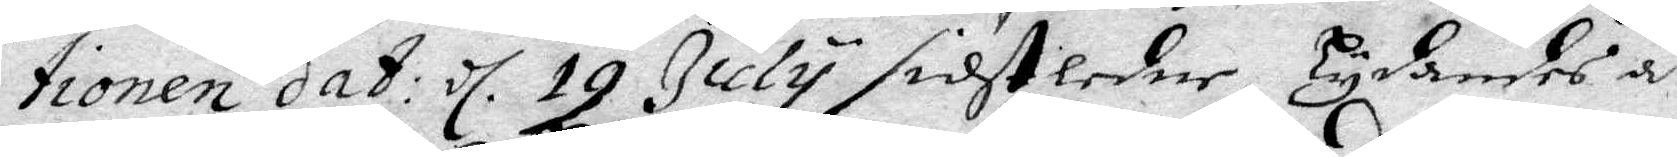tionen dat: d. 19 July sidstledne lydandes att den
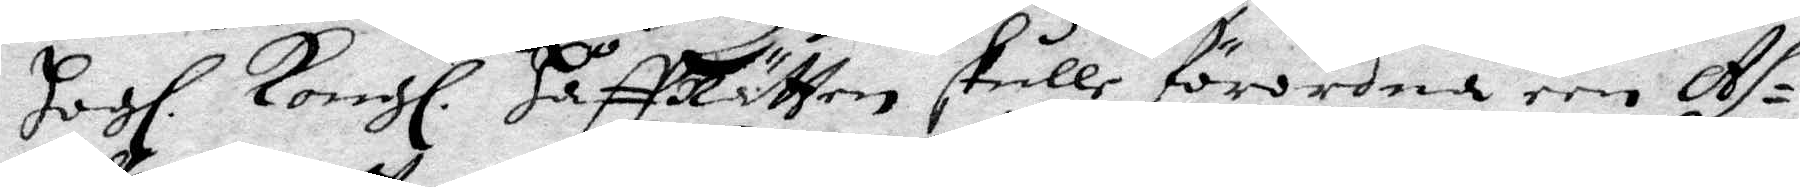Hogl Kongl HåffRätten skulle förordna om As¬
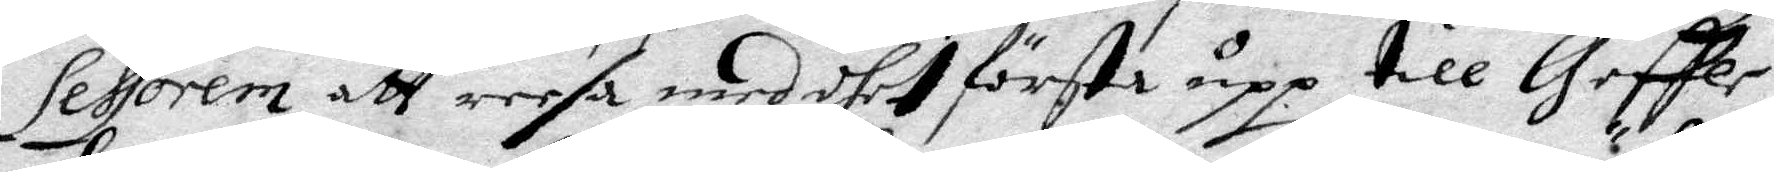sessorem att reesa med dhet första upp till Geffle
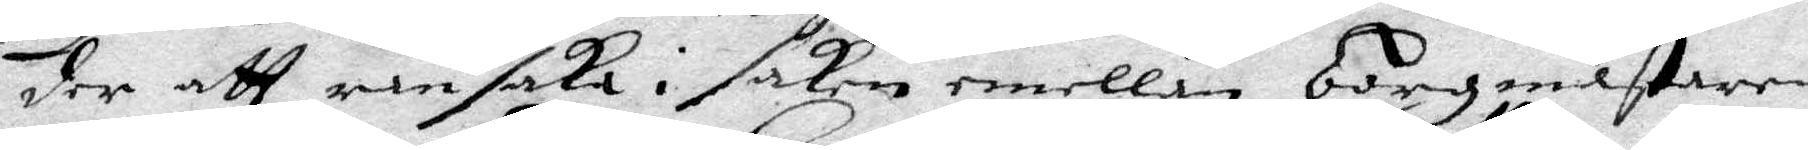der att ransaka i saken emellan Borgmästaren
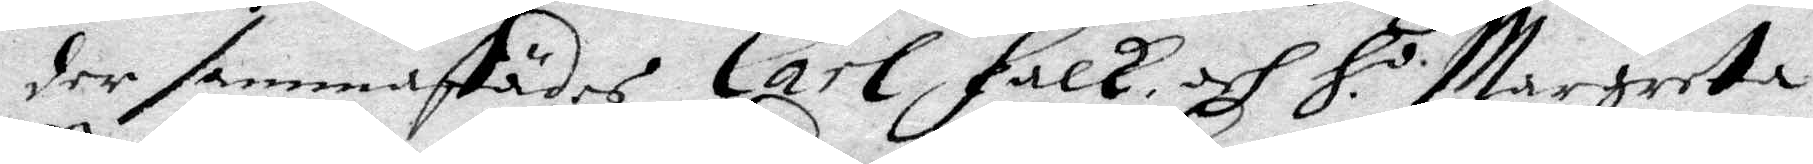der sammastädes Carl Falk och H.o Margareta
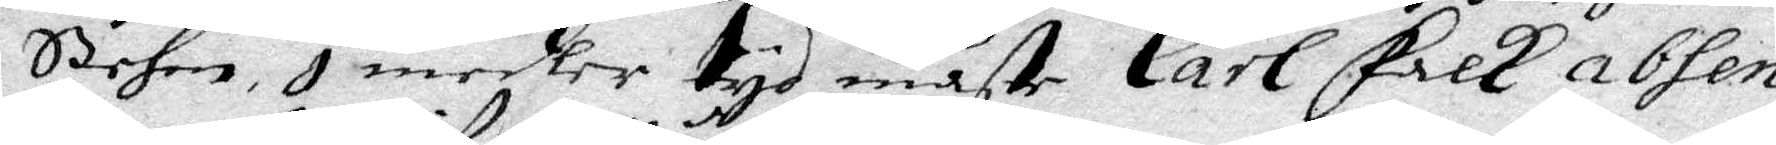Behm, I medler tyd måste Carl Falk absen¬
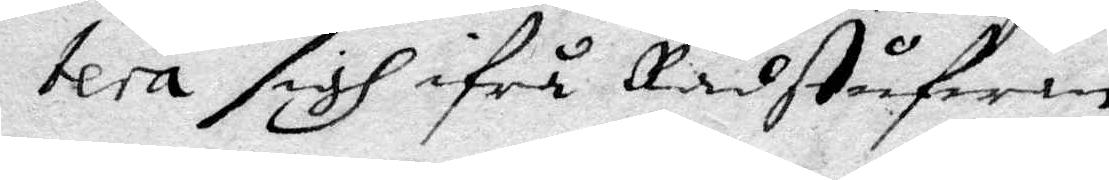tera sigh ifrå Rådstufwen.
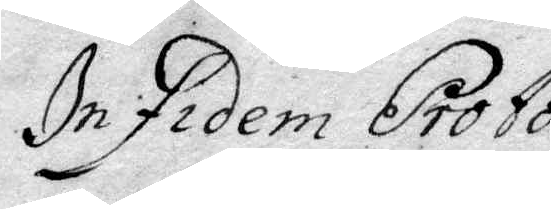In fidem Protocolli
